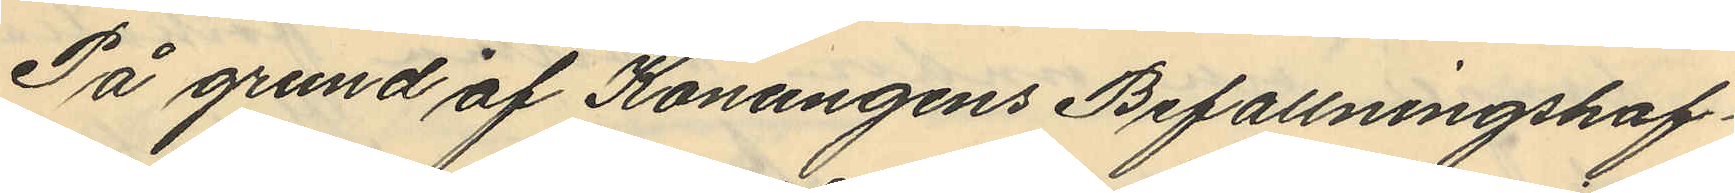På grund af Konungens Befallningshaf¬
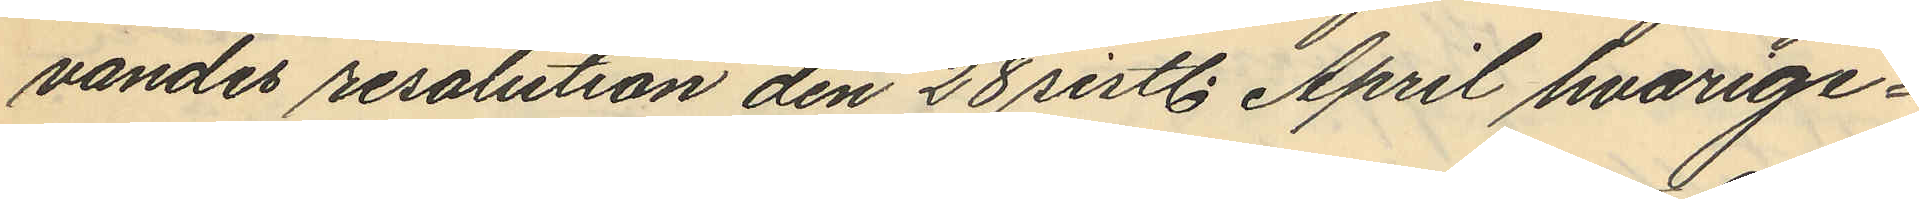vandes resolution den 28 sistl. April hvarige¬
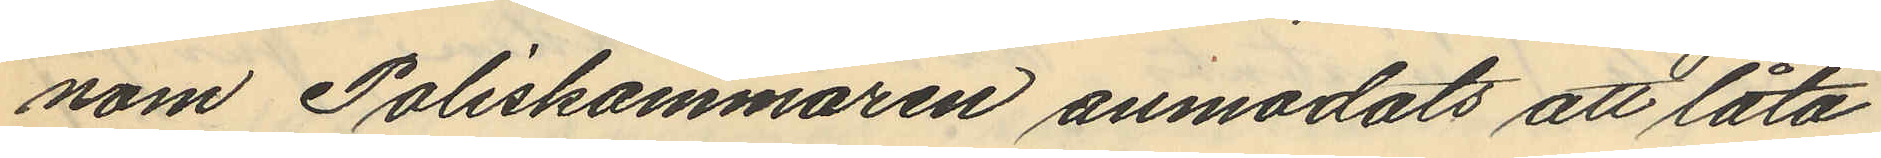nom Poliskammaren anmodats att låta
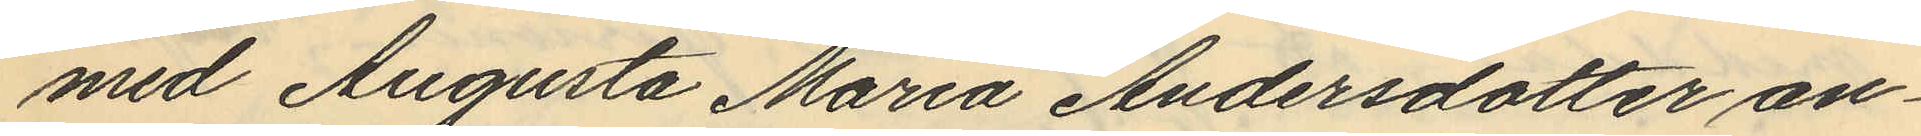med Augusta Maria Andersdotter an¬
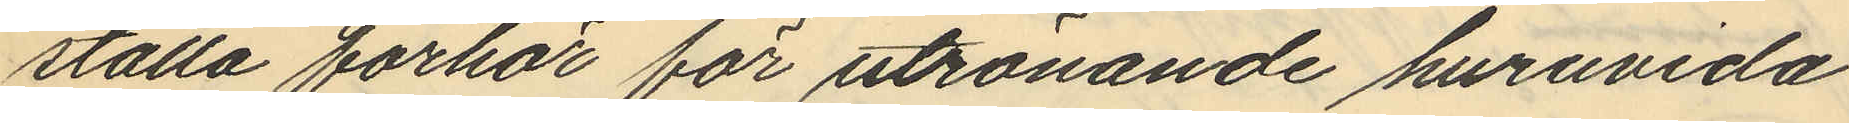ställa förhör för utrönande huruvida
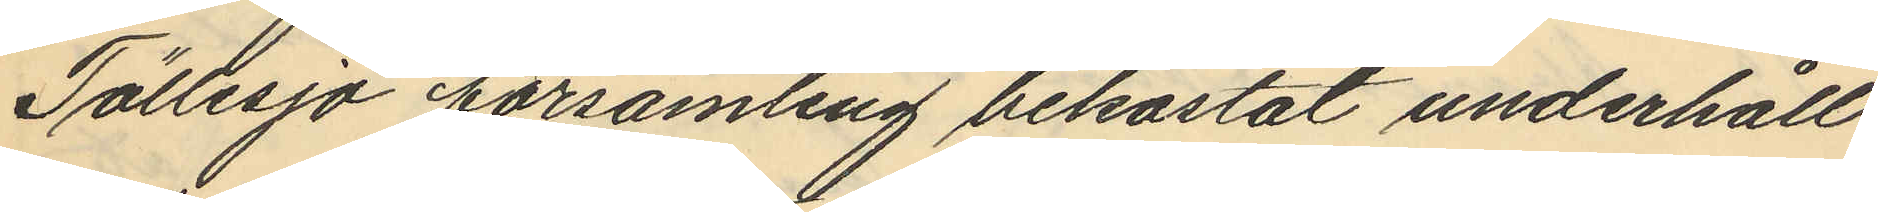Töllesjö församling bekostat underhåll
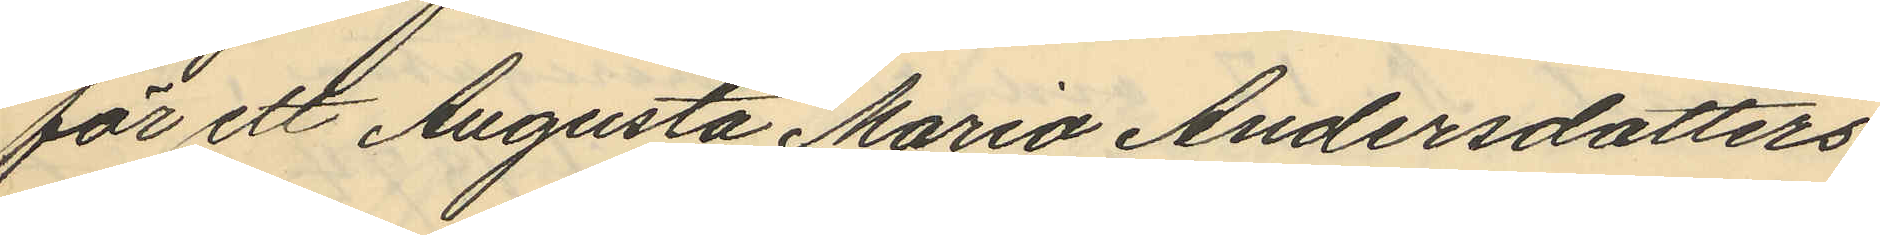för ett Augusta Maria Andersdotters
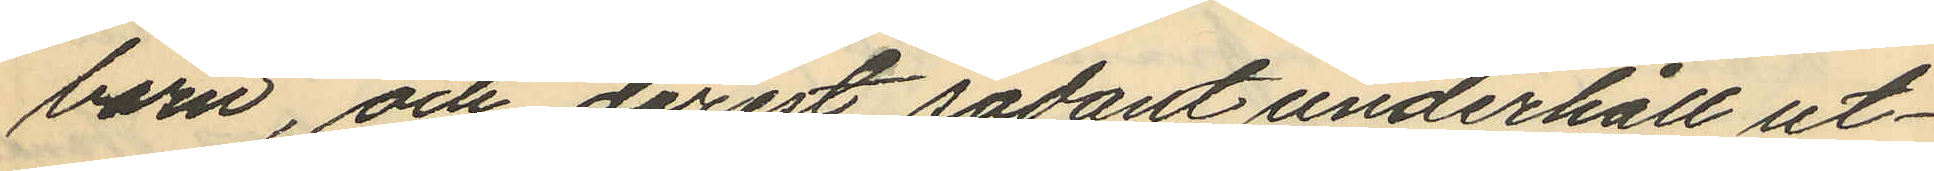barn, och derest sådant underhåll ut¬
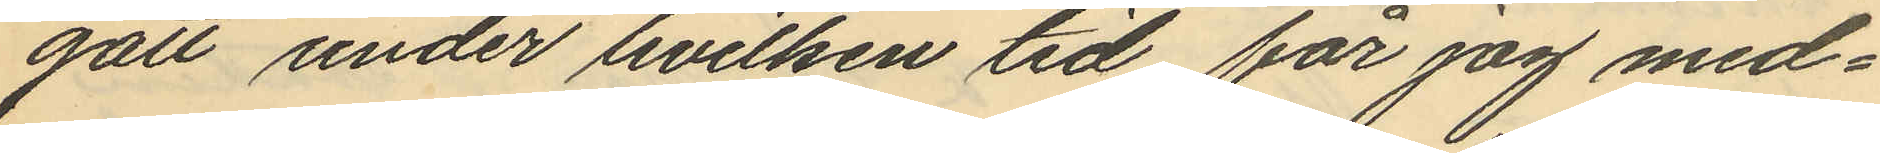gått under hvilken tid får jag med¬
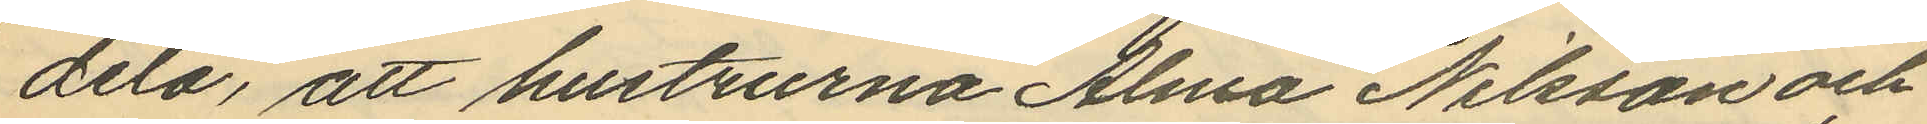dela, att hustrurna Alma Nilsson och
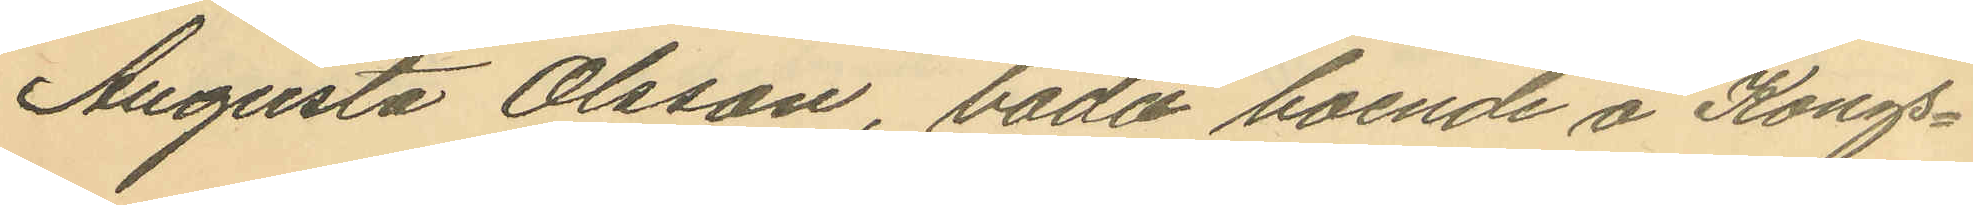Augusta Olsson, båda boende å Kongs¬
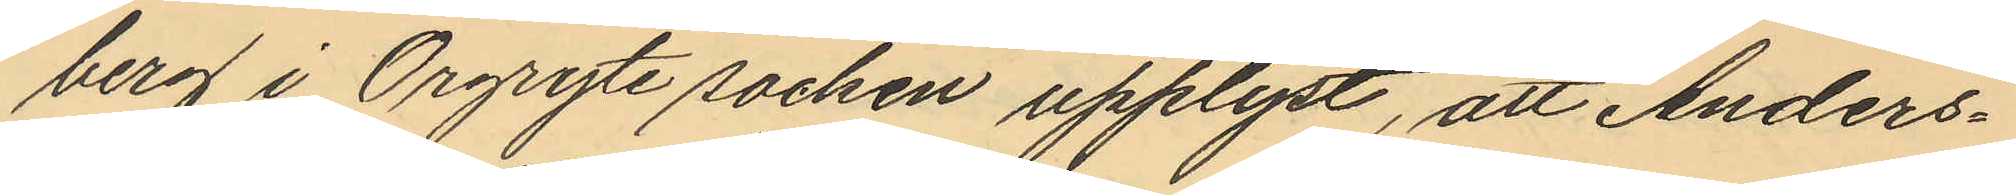berg i Örgryte socken upplyst, att Anders¬
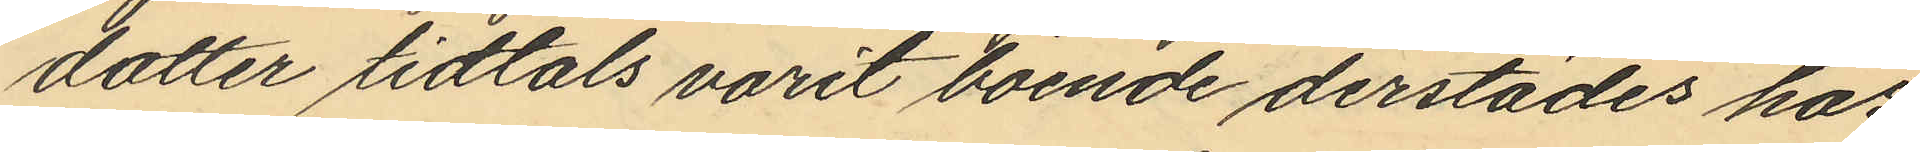dotter tidtals varit boende derstädes hos
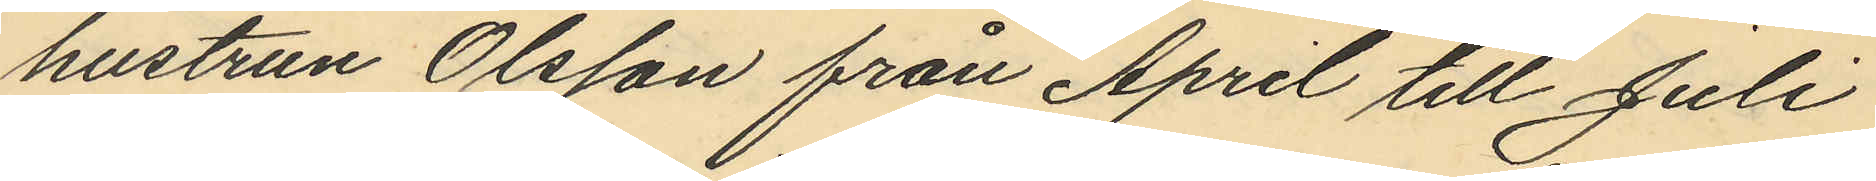hustrun Olsson från April till Juli
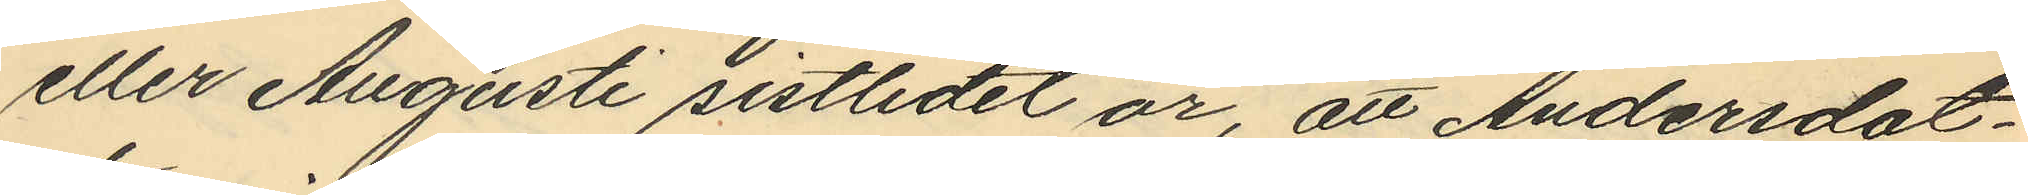eller Augusti sistlidet år, att Andersdot¬
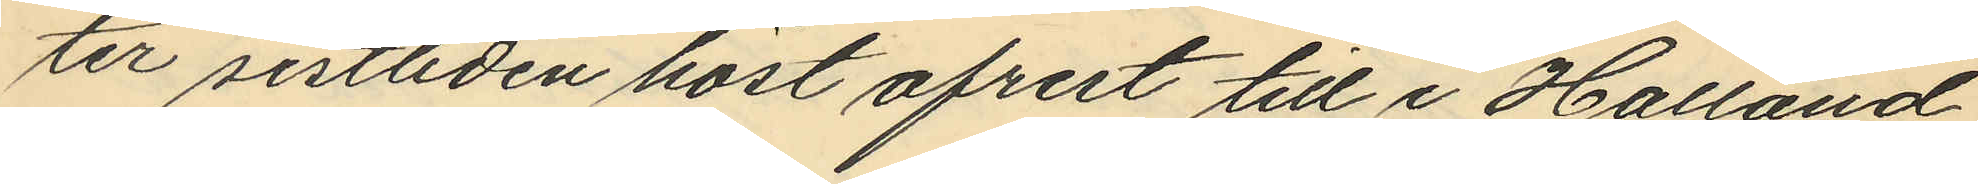ter sistliden höst afrest till i Halland
